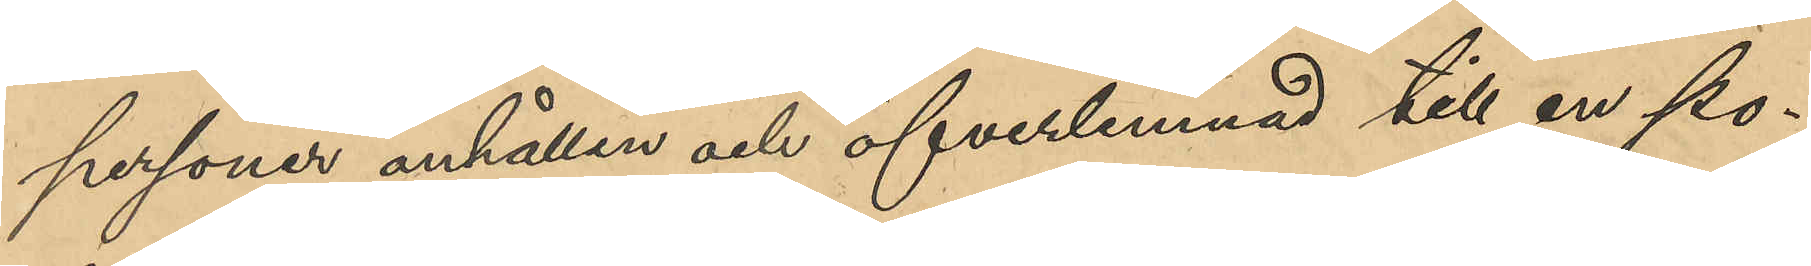personer anhållen och öfverlemnad till en po¬
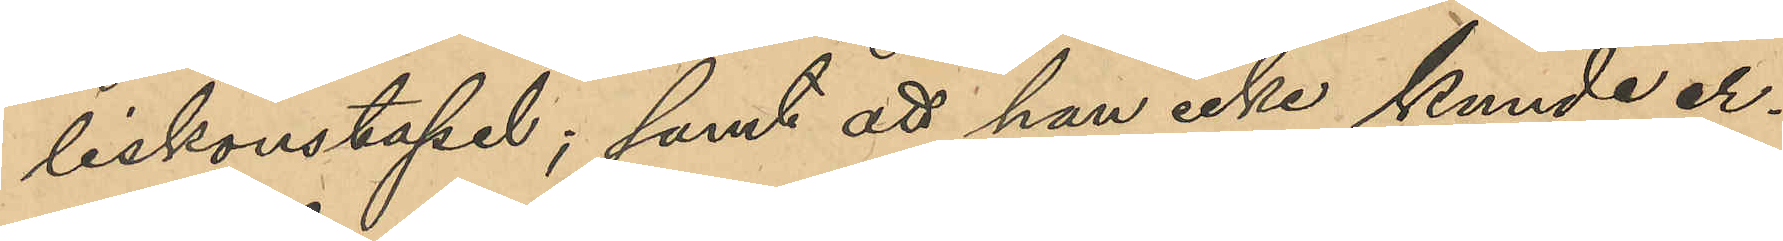liskonstapel; samt att han icke kunde er¬
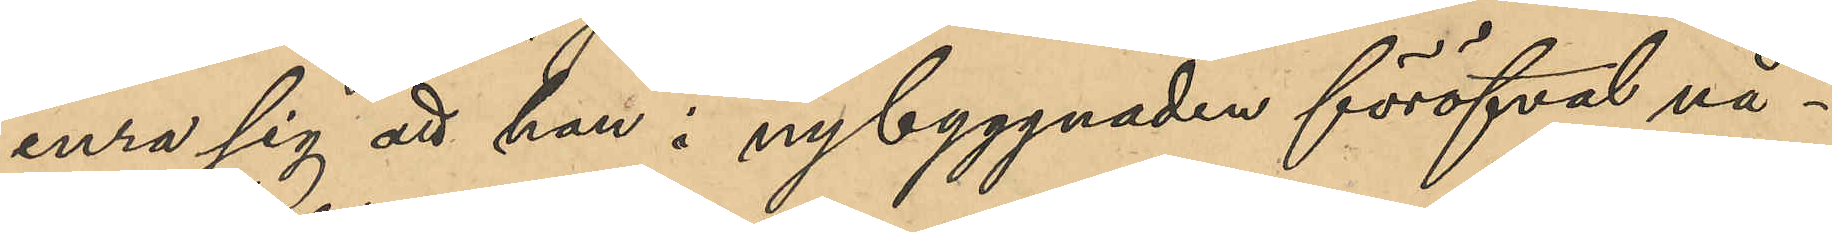inra sig att han i nybyggnaden föröfvat nå¬
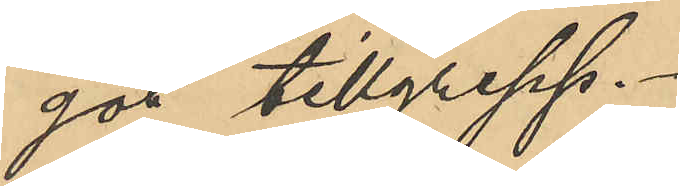got tillgrepp.
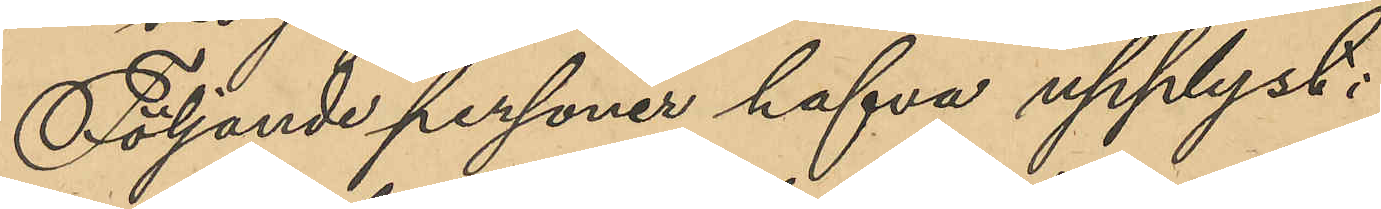Följande personer hafva upplyst:
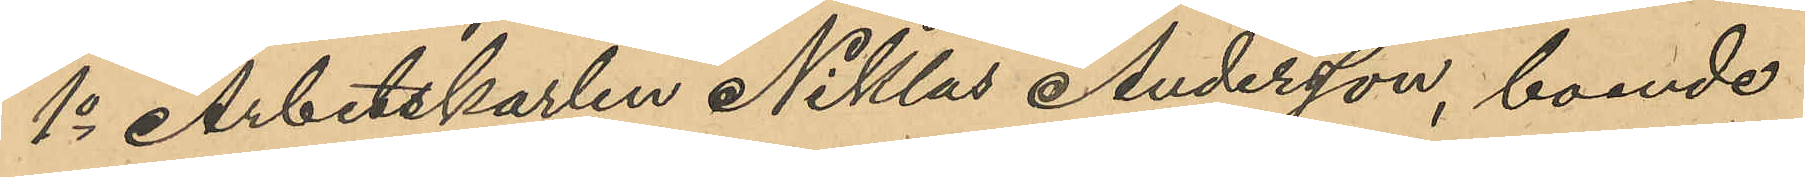1o Arbetskarlen Niklas Andersson, boende
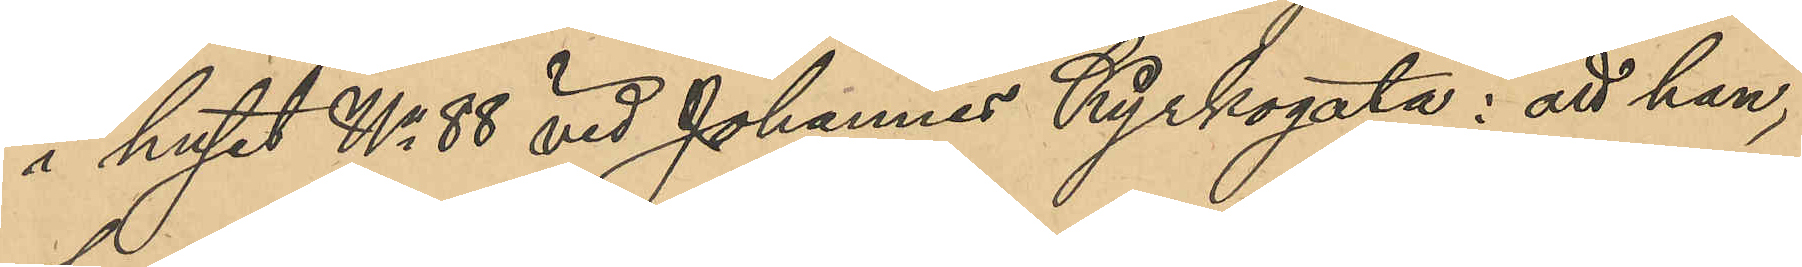i huset No 88 vid Johannes Kyrkogata: att han,
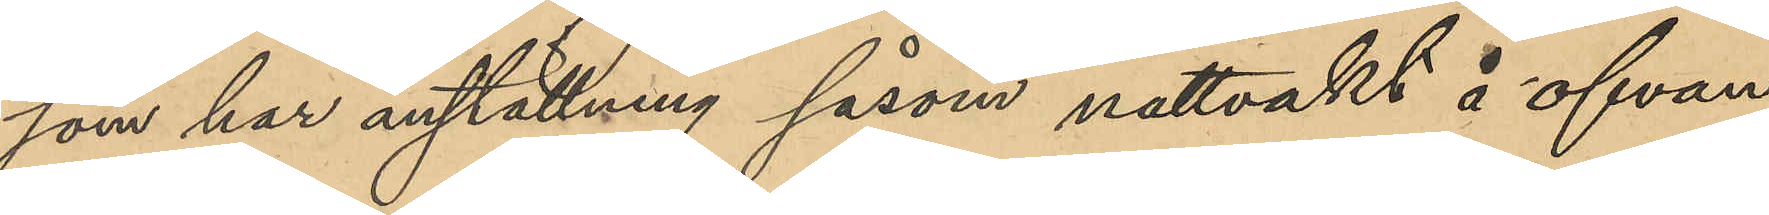som har anställning såsom nattvakt å ofvan¬
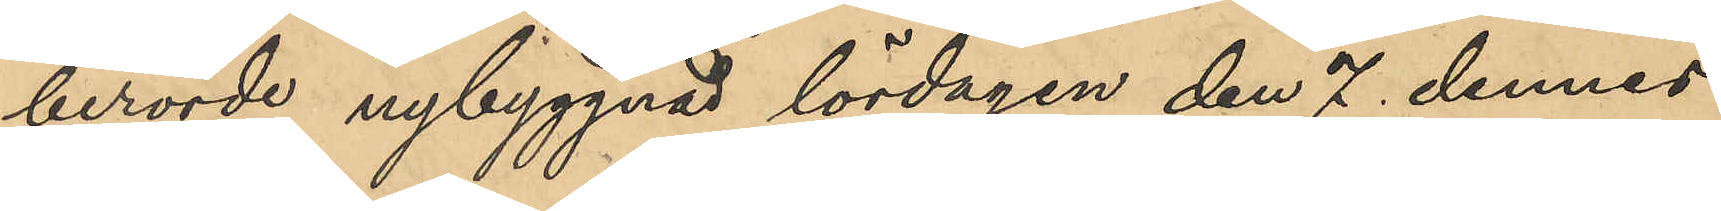berörde nybyggnad lördagen den 7 dennes
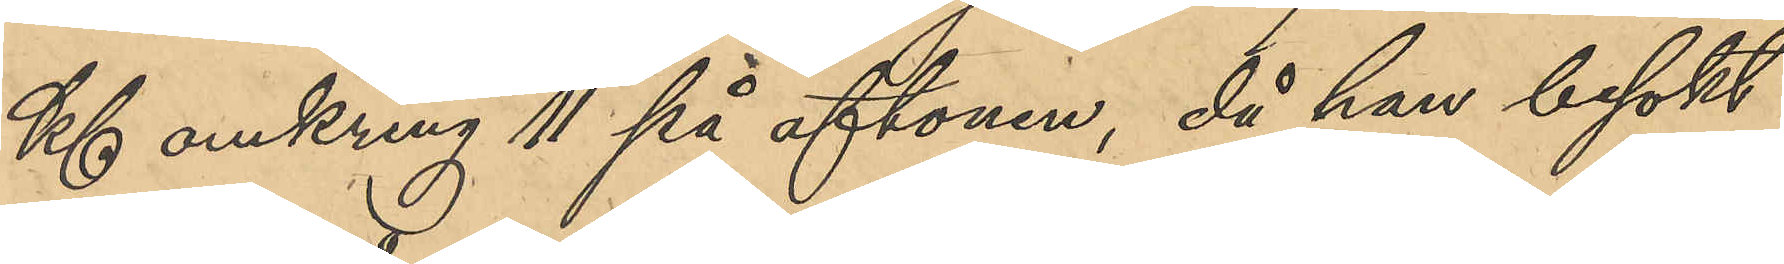Kl omkring 11 på aftonen, då han besökt
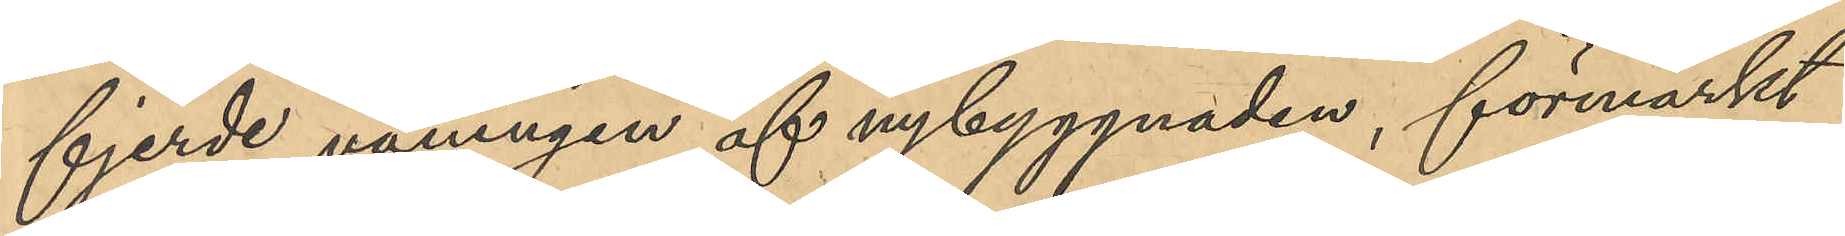fjerde våningen af nybyggnaden, förmärkt
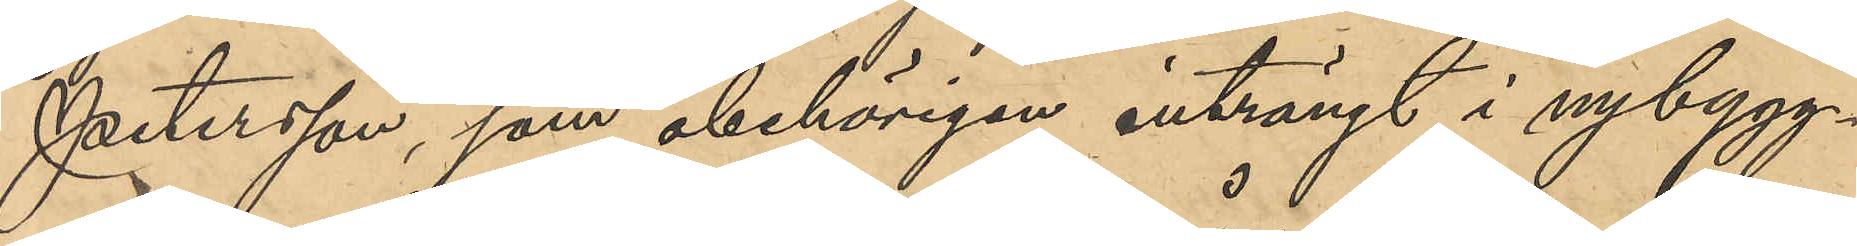Petersson, som obehörigen inträngt i nybygg¬
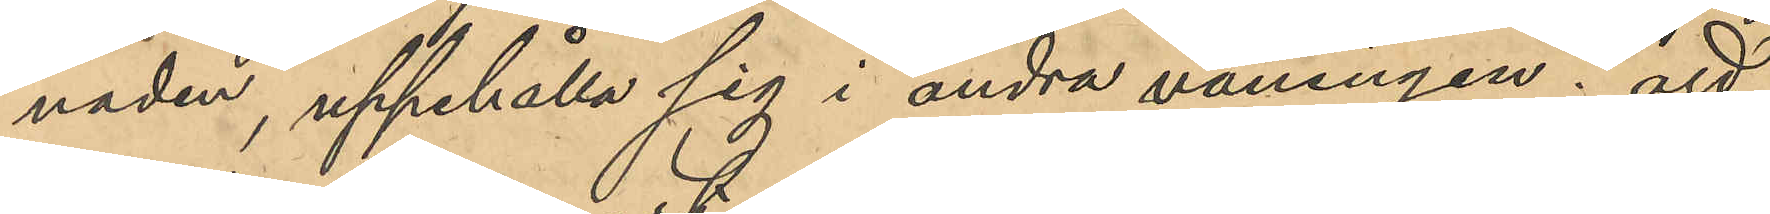naden, uppehålla sig i andra våningen; att
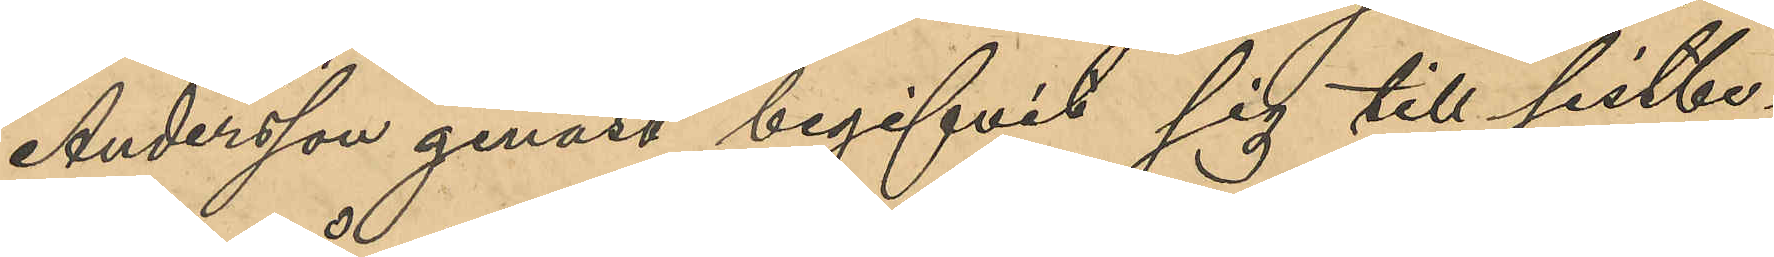Andersson genast begifvit sig till sistbe¬
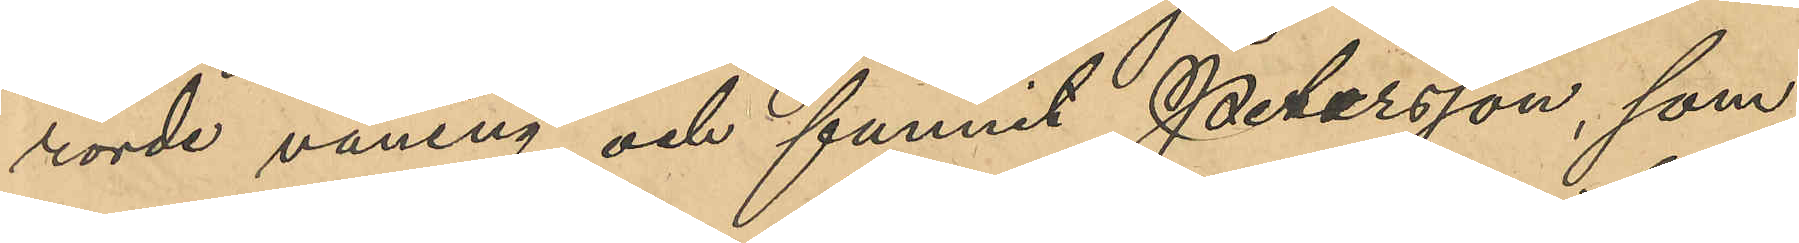rörde våning och funnit Petersson, som
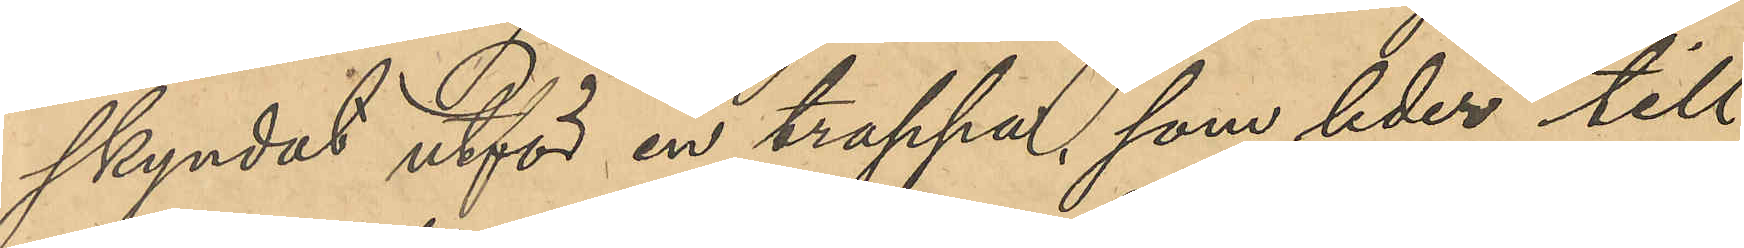skyndat utför en trappa, som leder till
